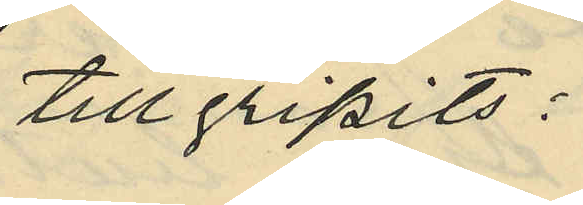tillgripits:
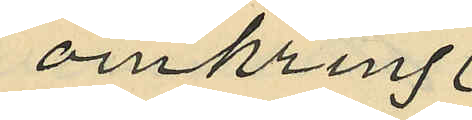omkring
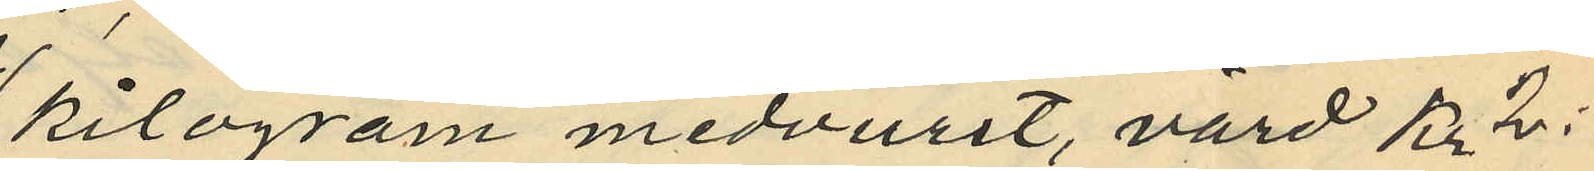kilogram medvurst, värd Kr 2:
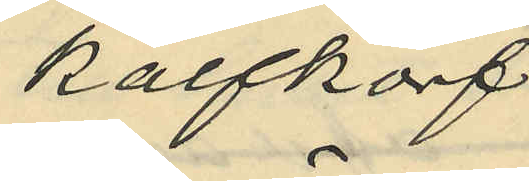kalfkorf
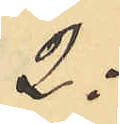2:
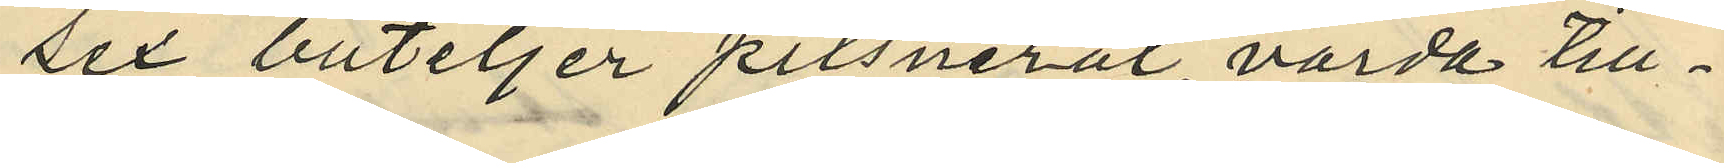sex buteljer pilsneröl, värda till¬
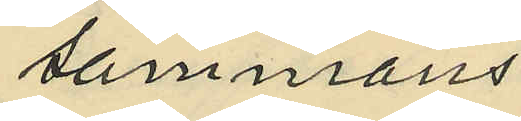sammans
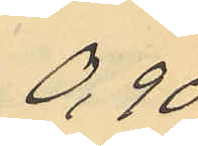0,90
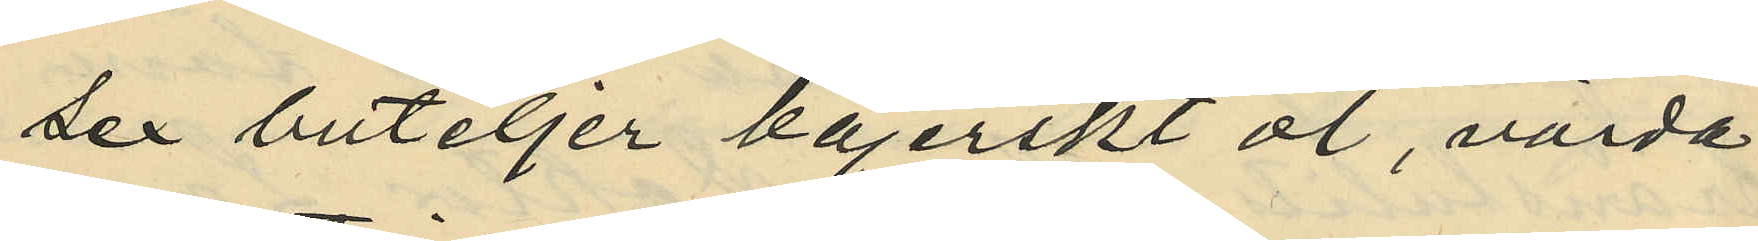sex buteljer bajerskt öl, värda
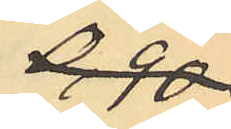0,90
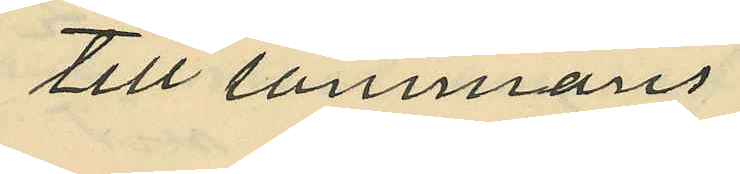till sammans
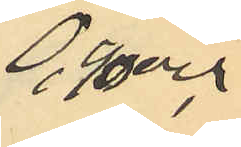0,90 och
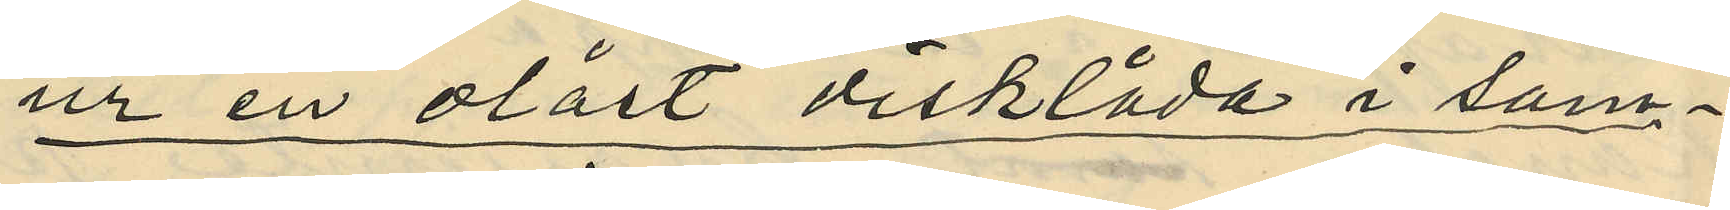ur en olåst disklåda i sam¬
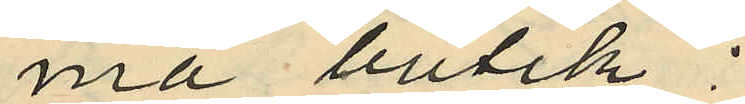ma butik;
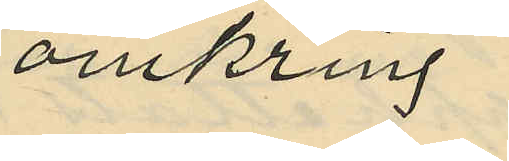omkring
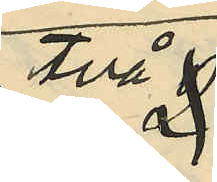två
